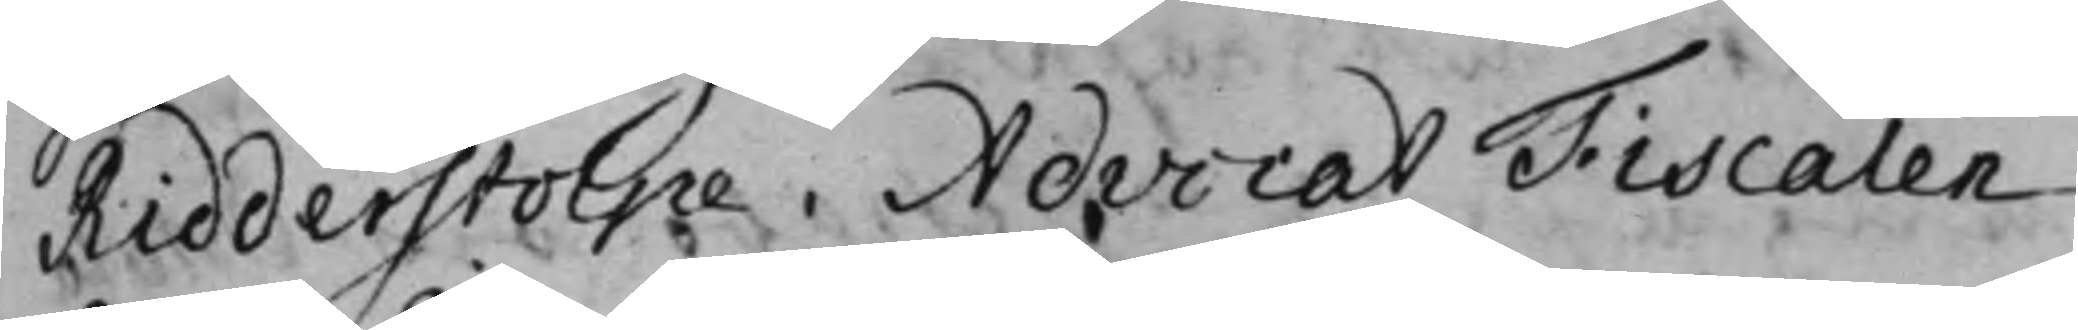Ridderstolpe. AdvocatFiscalen
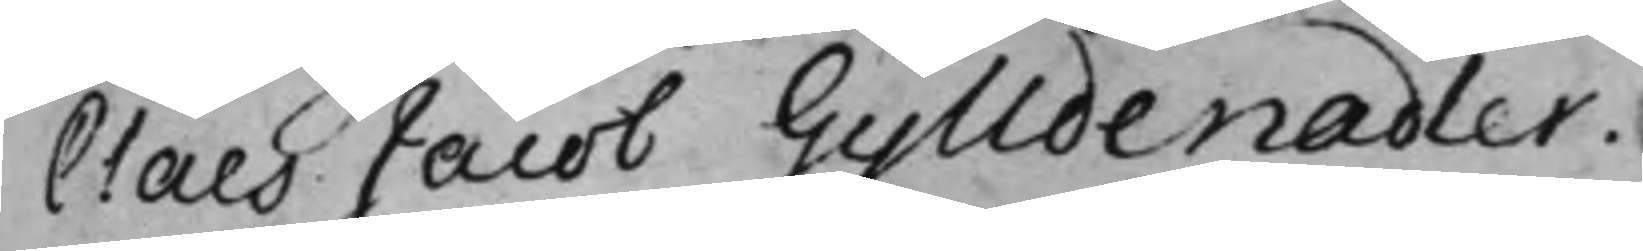Claes Jacob Gylldenadler.
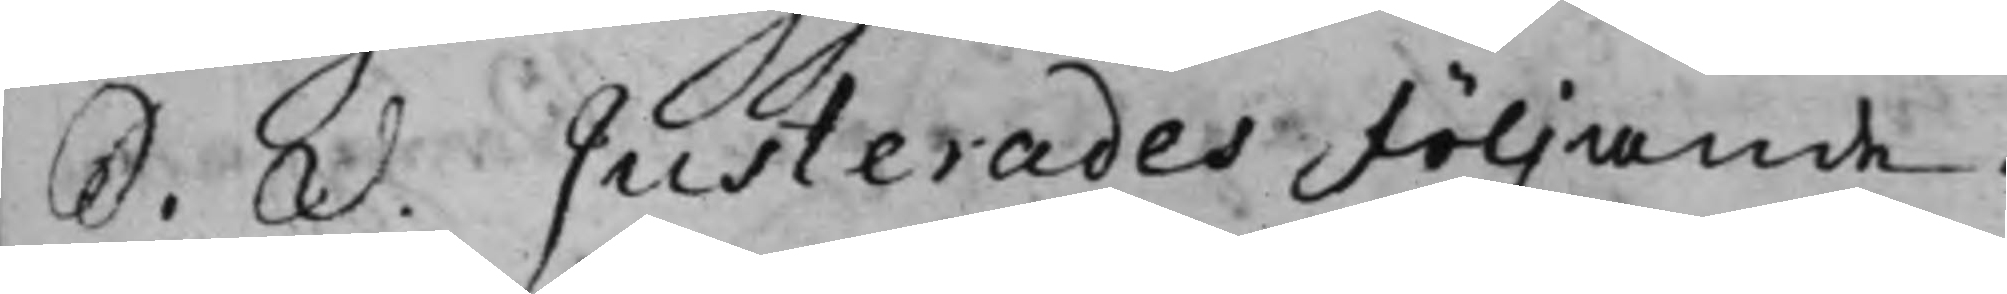S. d. Justerades följande. 
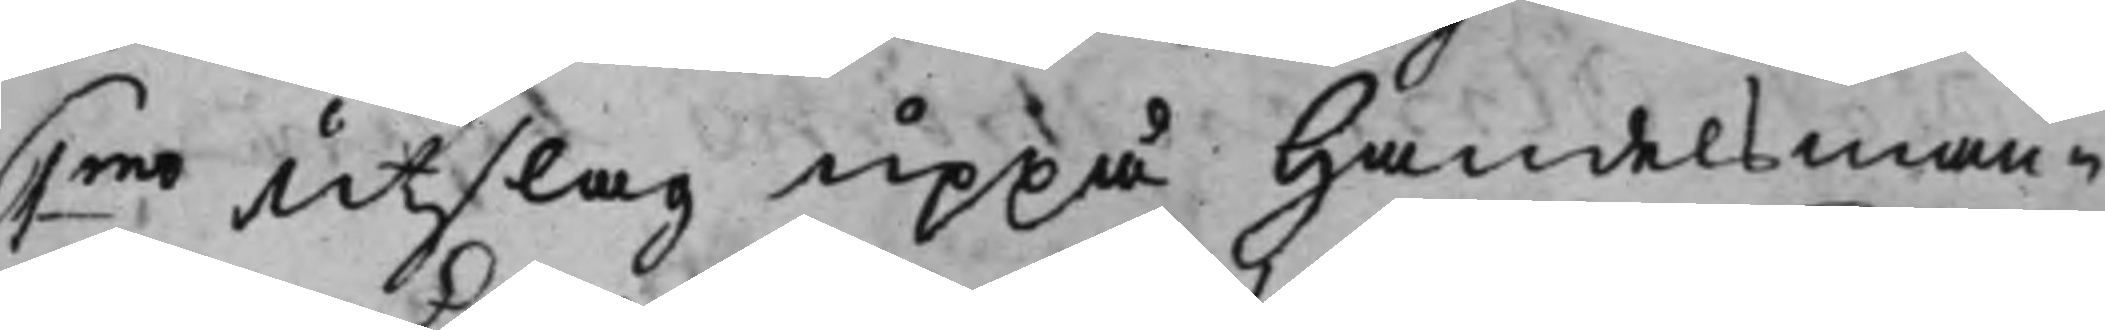1mo Utslag uppå Handelsman¬ 
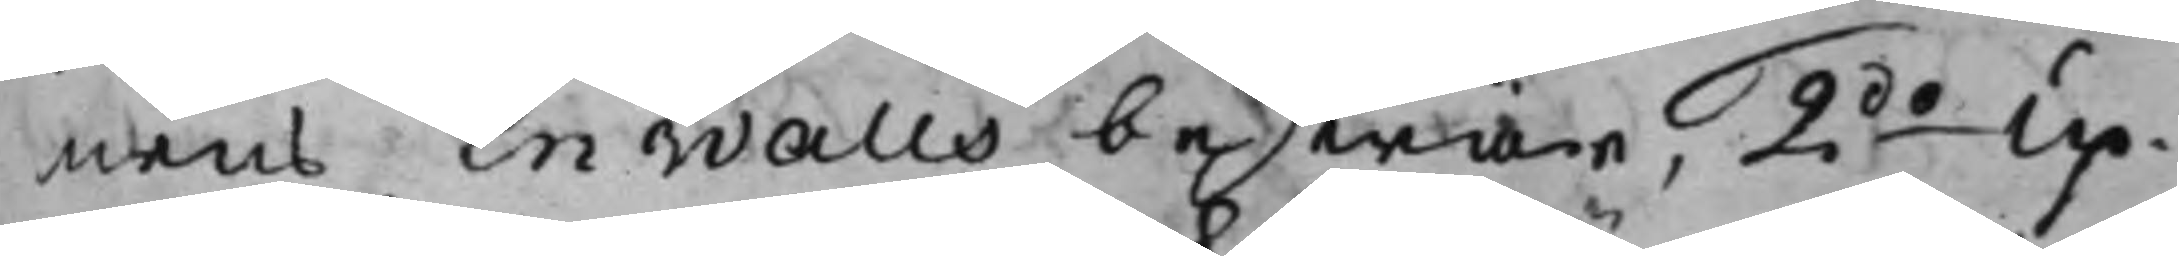nens Enwalls beswär, 2do Up¬ 
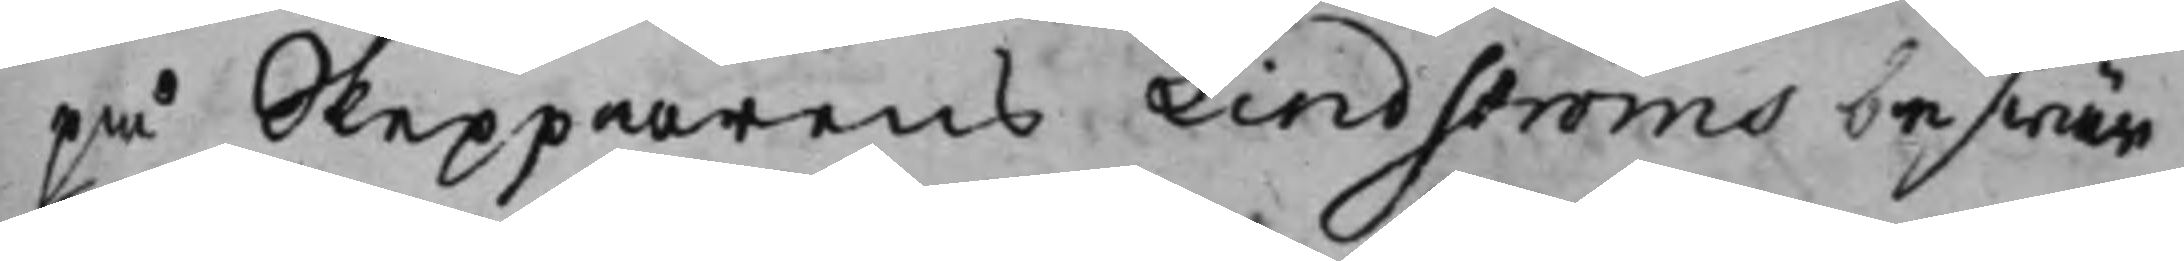på Skepparens Lindströms beswär
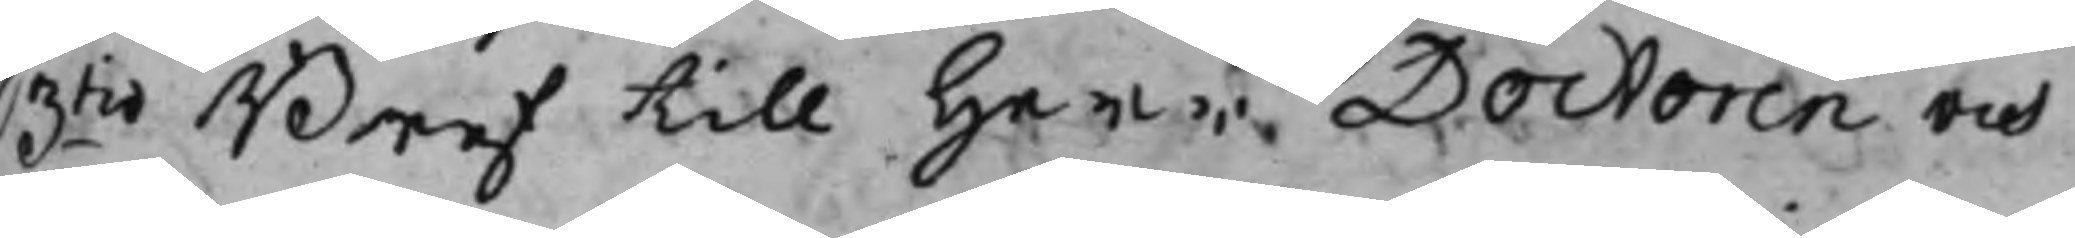3tio Bref till Herr Doctoren och 
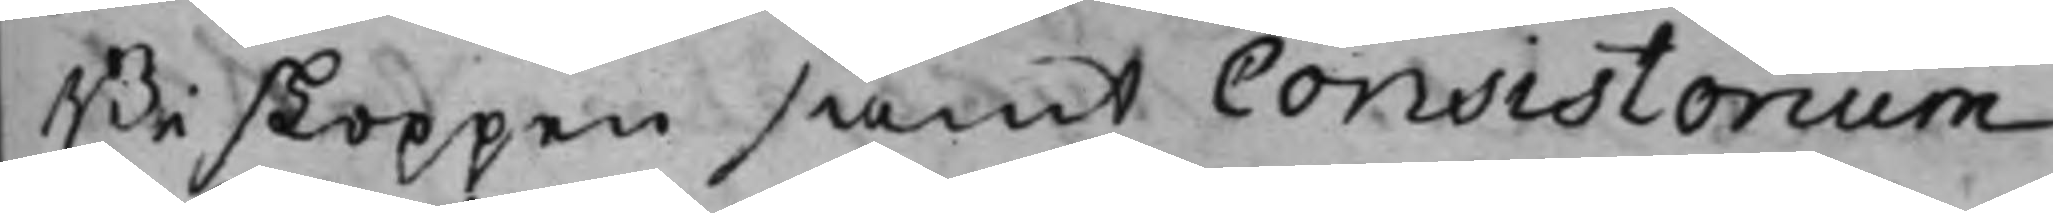Biskoppen samt Consistorium
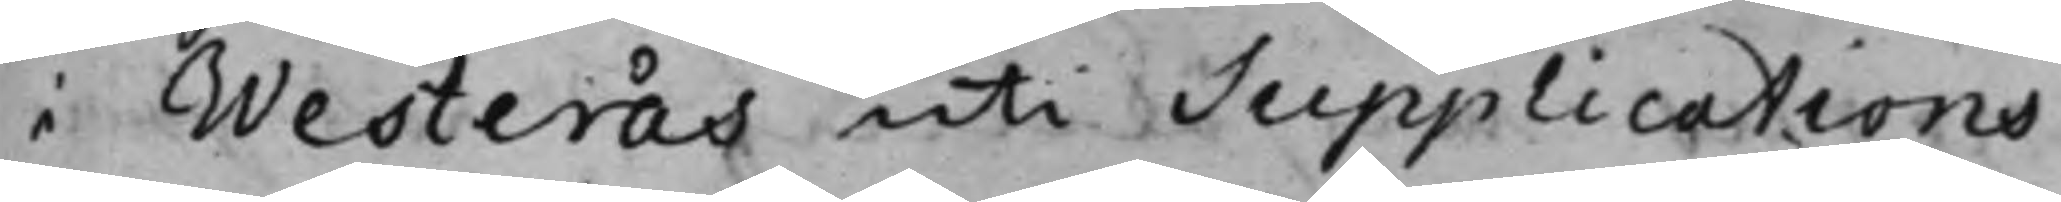i Westerås uti Supplications¬
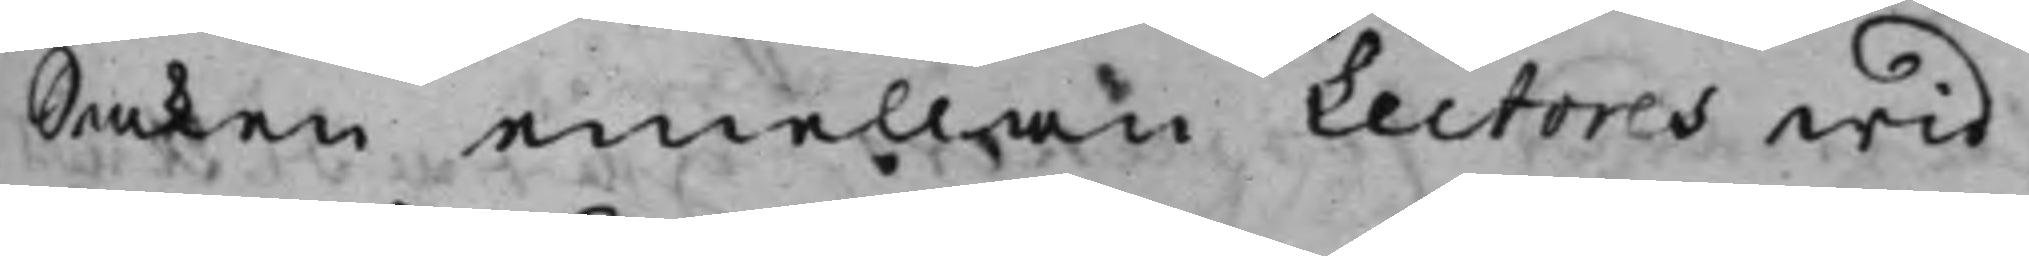Saken emellan Lectores wid
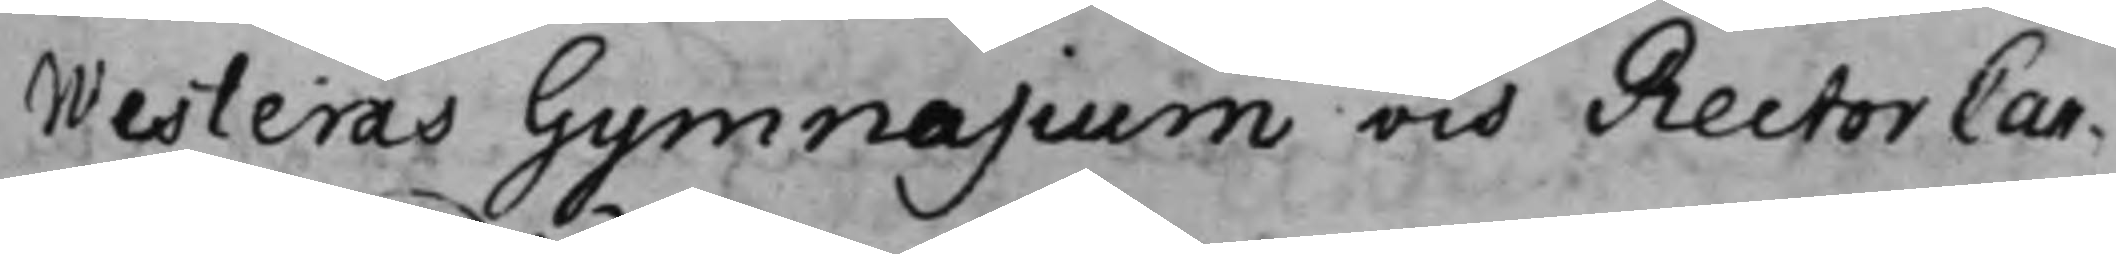Westerås Gymnasium och Rector Can¬
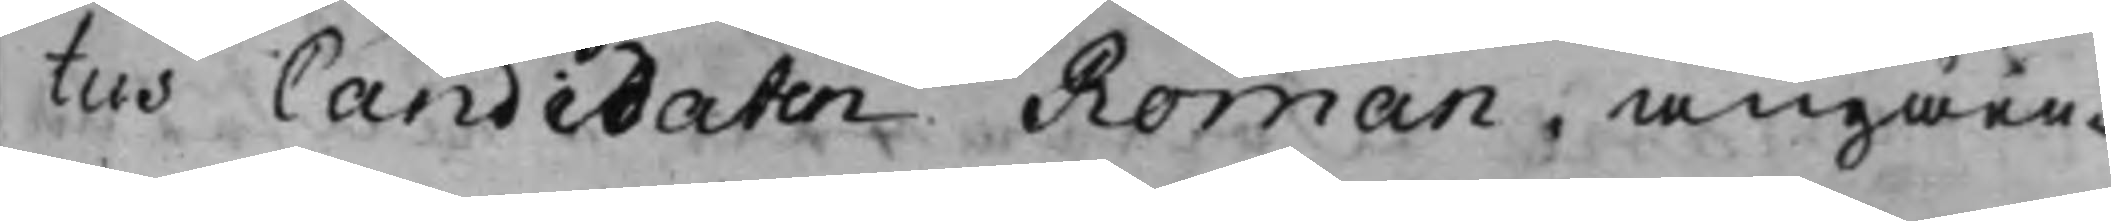tus Candidaten Roman, angåen.
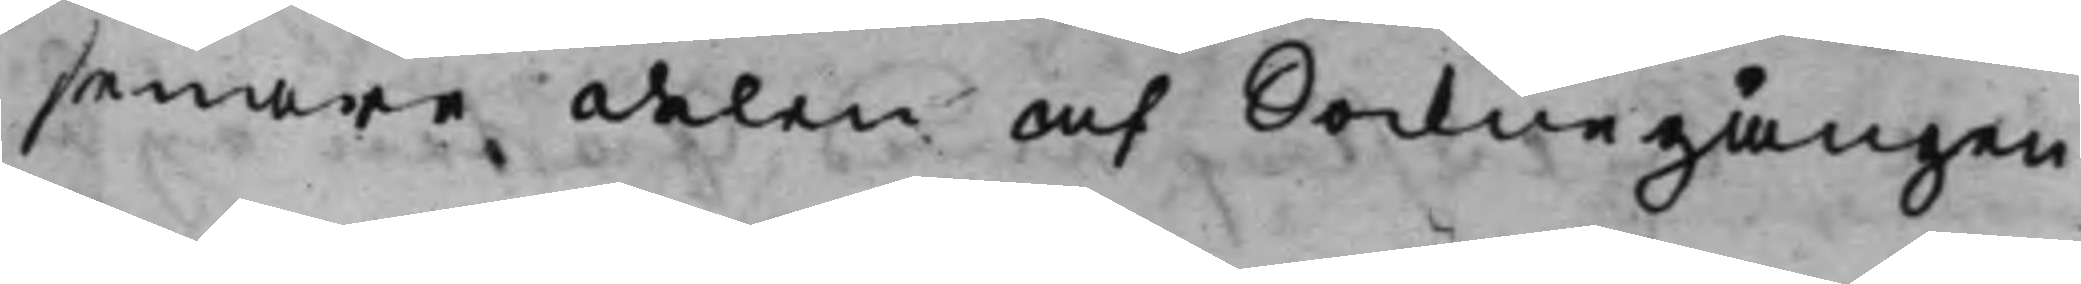senare delen af Socknegången
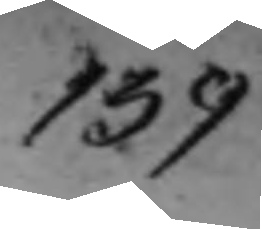139
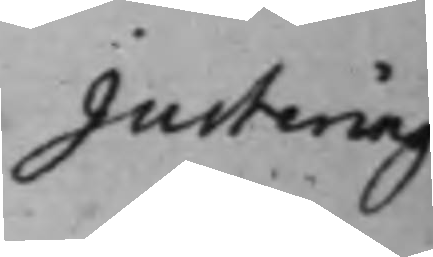Justering
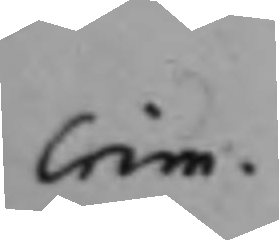Crim.
